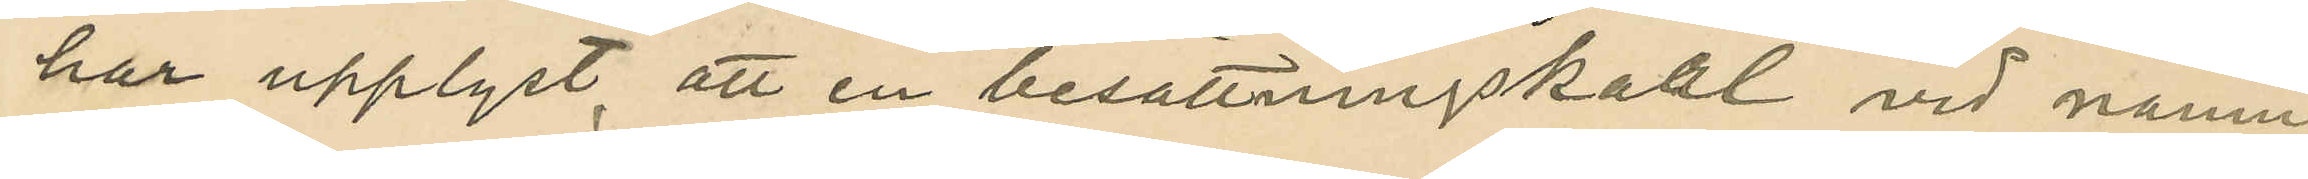har upplyst, att en besättningskarl vid namn
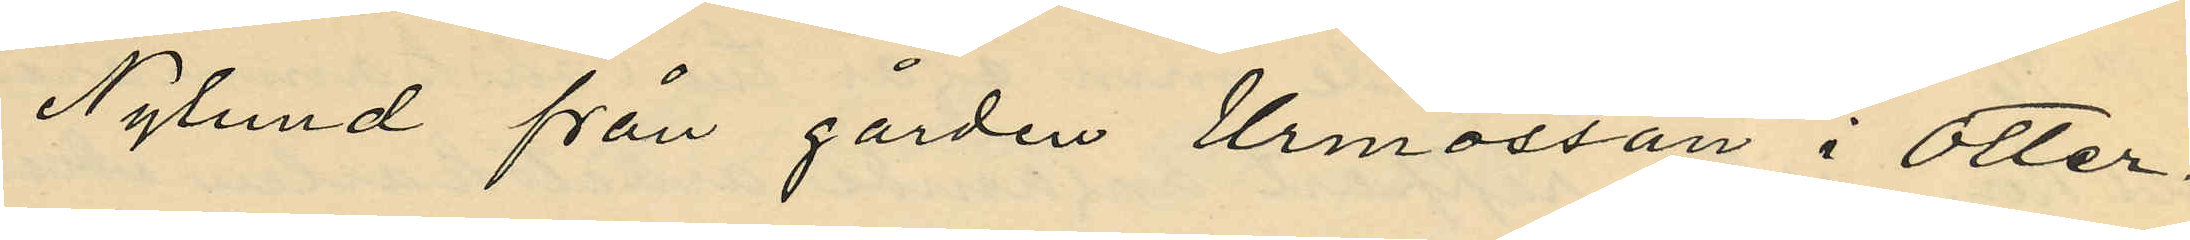Nylund från gården Urmossan i Otter¬
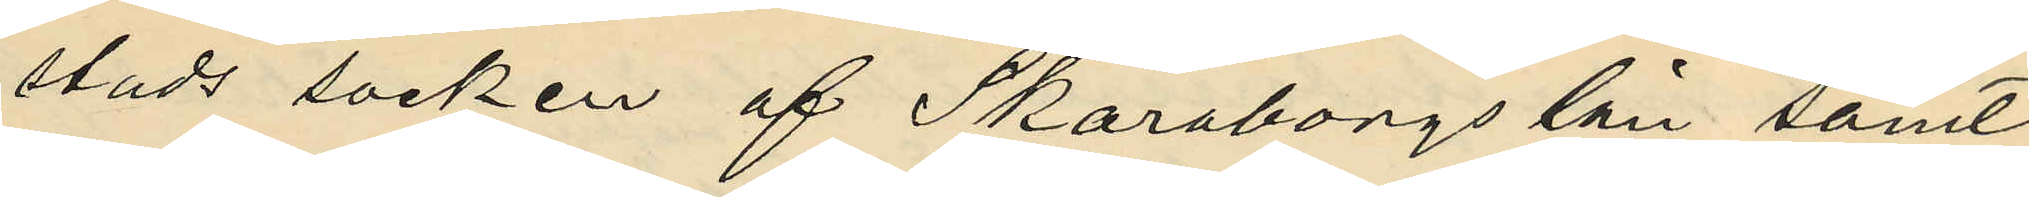stads socken af Skaraborgs län samt
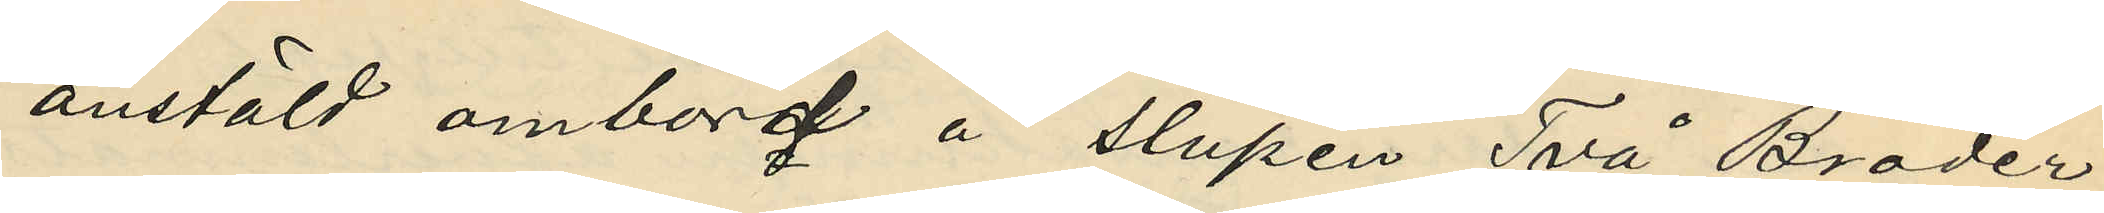anstäld ombord å slupen "Två Bröder",
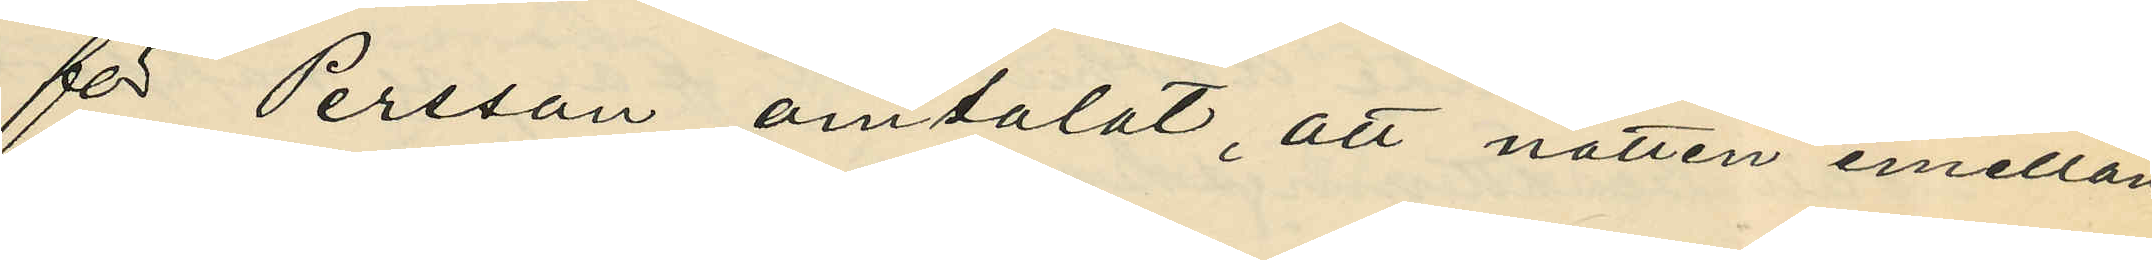för Persson omtalat, att natten emellan
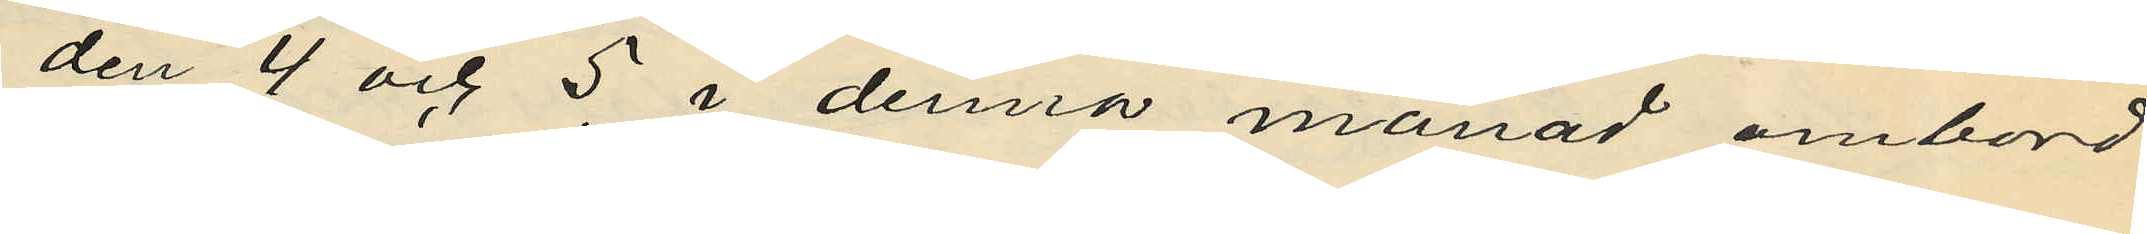den 4 och 5 i denna månad ombord
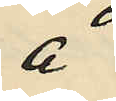å
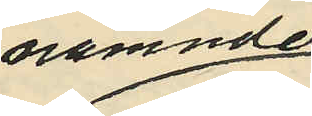nämnde
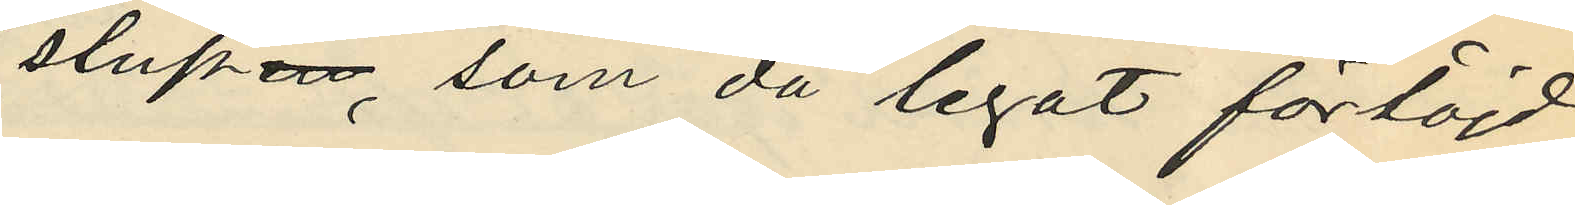slupen, som då legat förtöjd
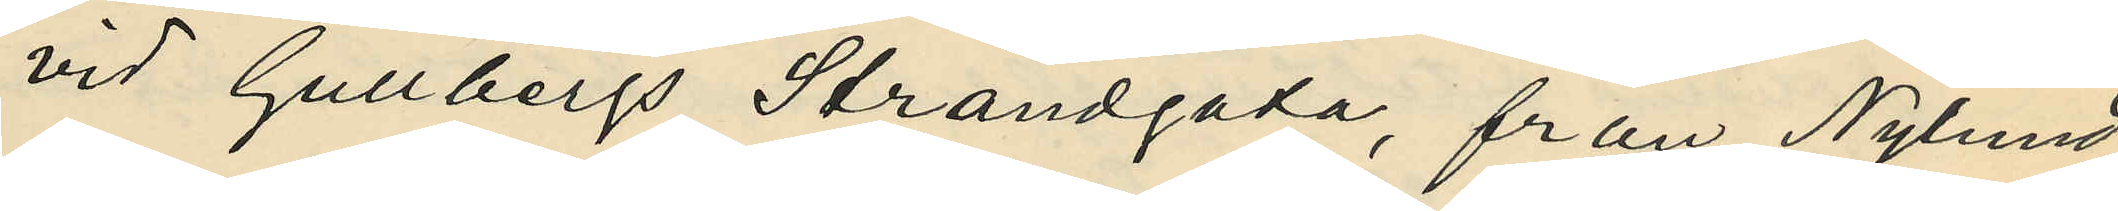vid Gullbergs Strandgata, från Nylund
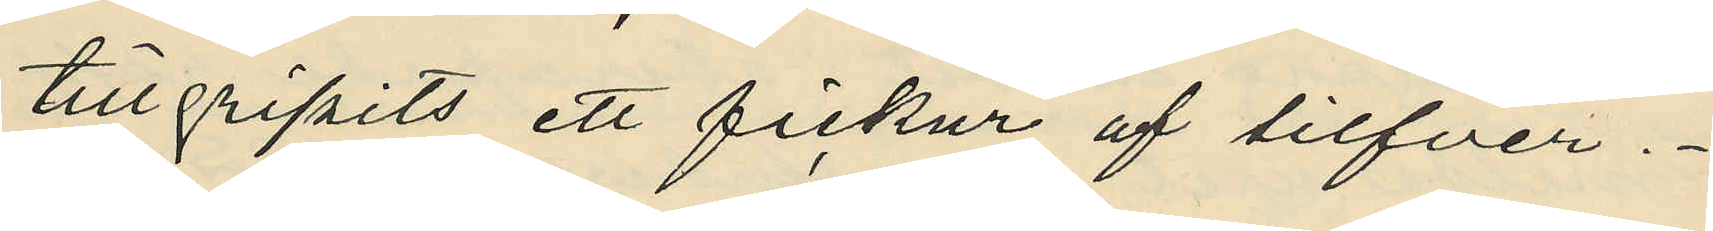tillgripits ett fickur af silfver.
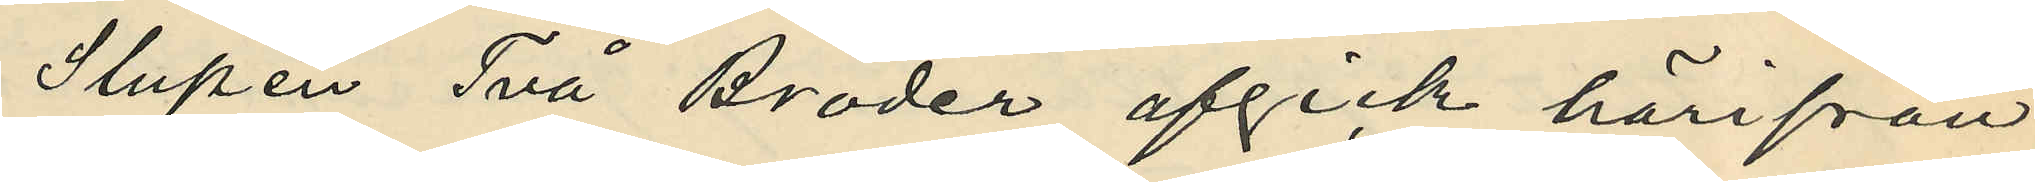Slupen Två Bröder afgick härifrån
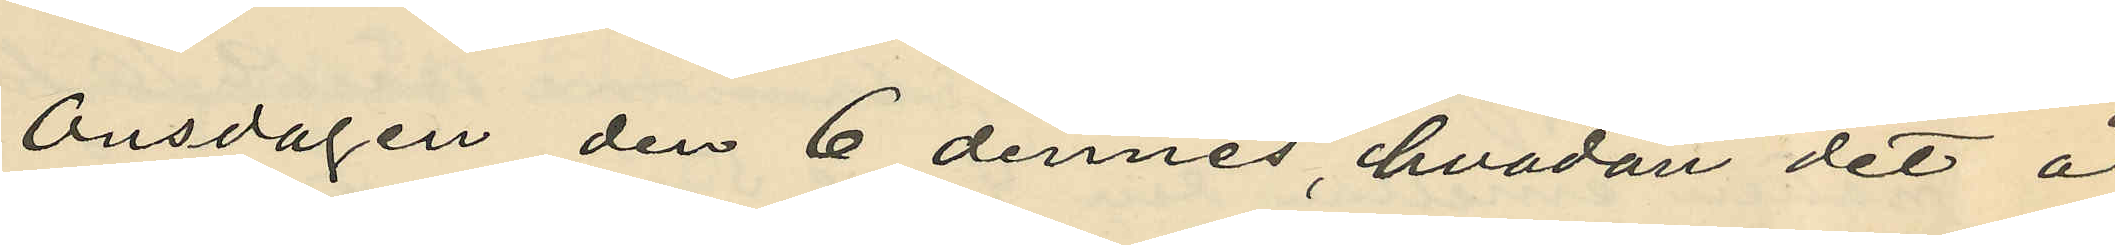Onsdagen den 6 dennes, hvadan det å
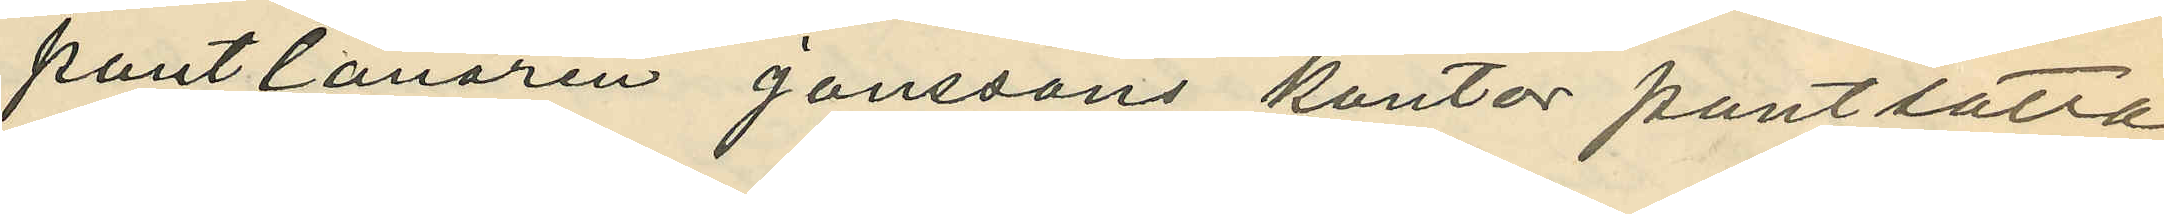pantlånaren Janssons kontor pantsatta
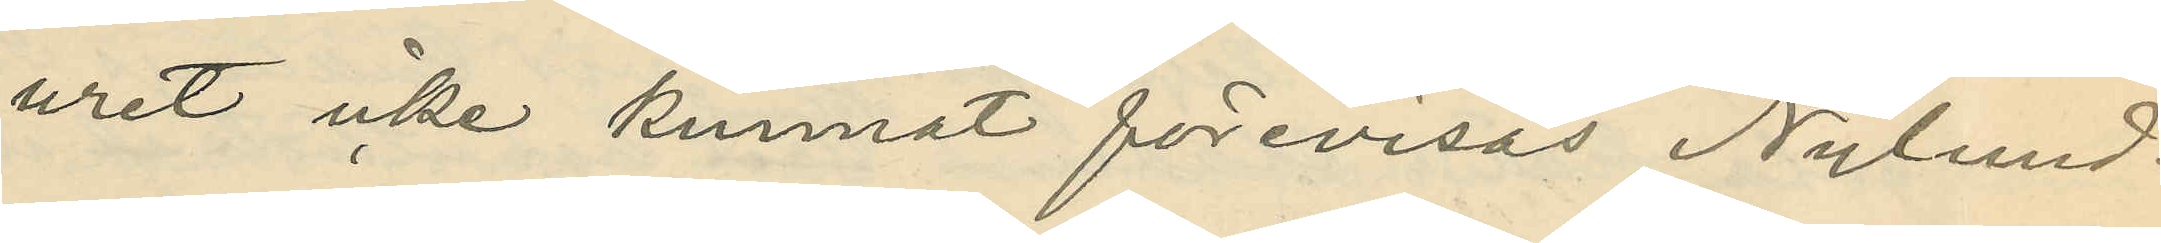uret icke kunnat förevisas Nylund.
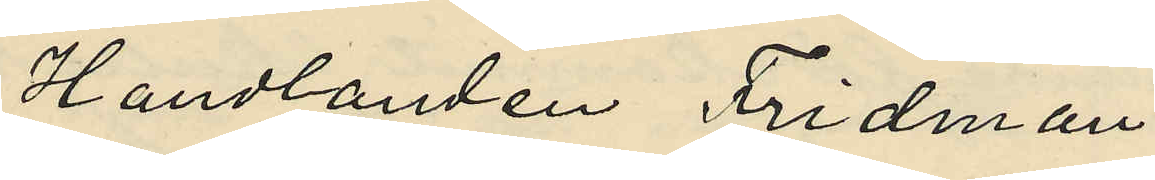Handlanden Fridman,
